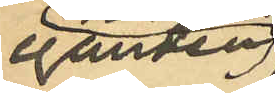eganden
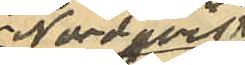Nordqvist
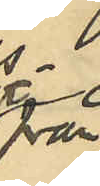från¬
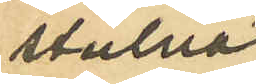stulna
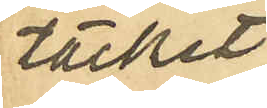täcket
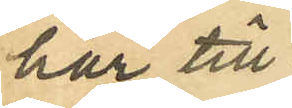har till¬
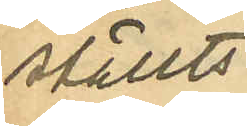ställts
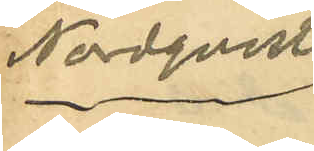Nordqvist.
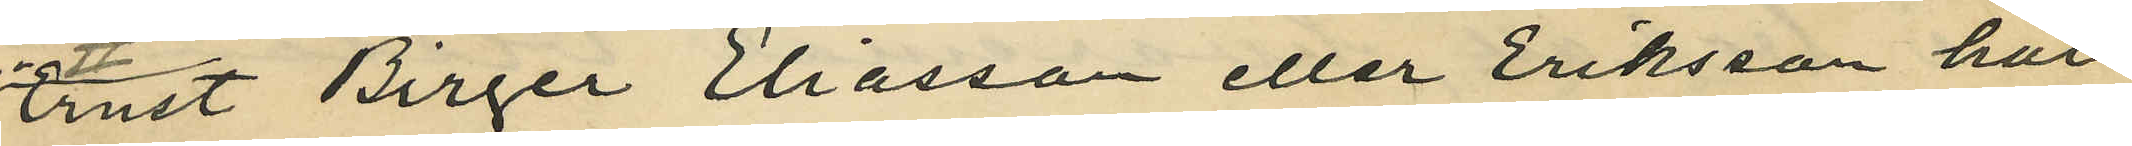Ernst Birger Eliasson eller Eriksson har
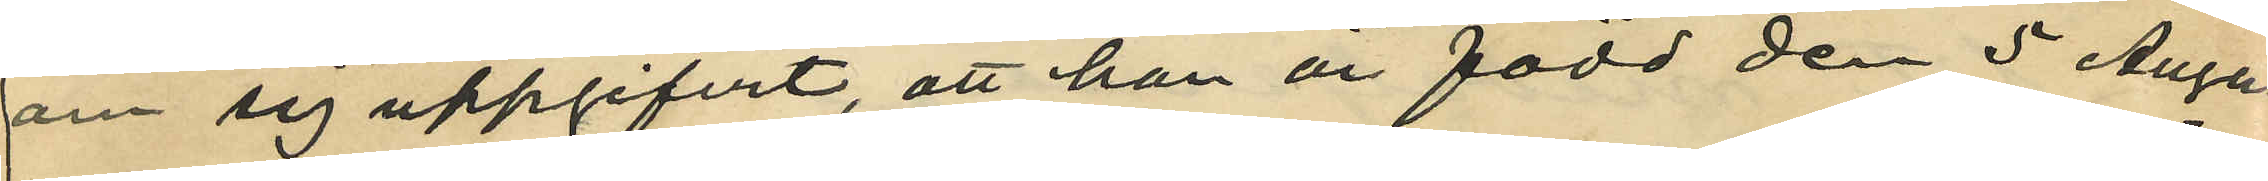om sig uppgifvit, att han är född den 5 Augu¬
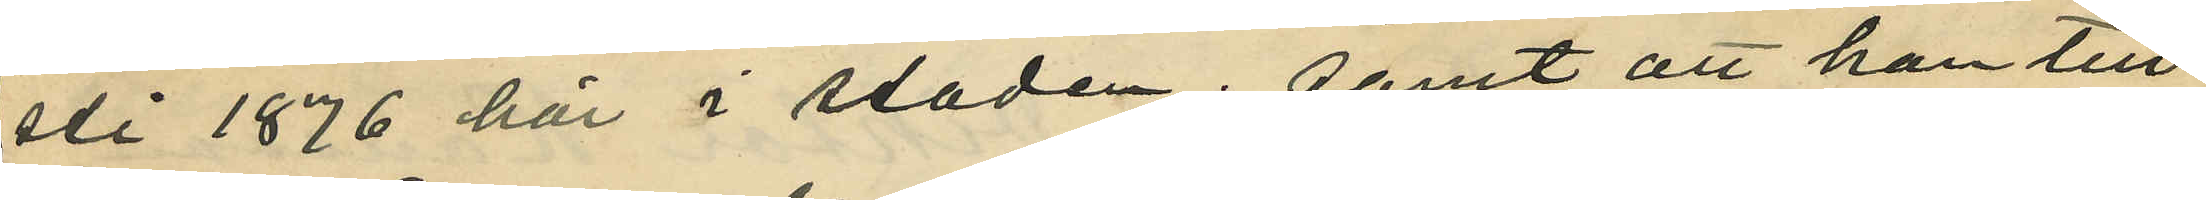sti 1876 här i staden; samt att han till¬
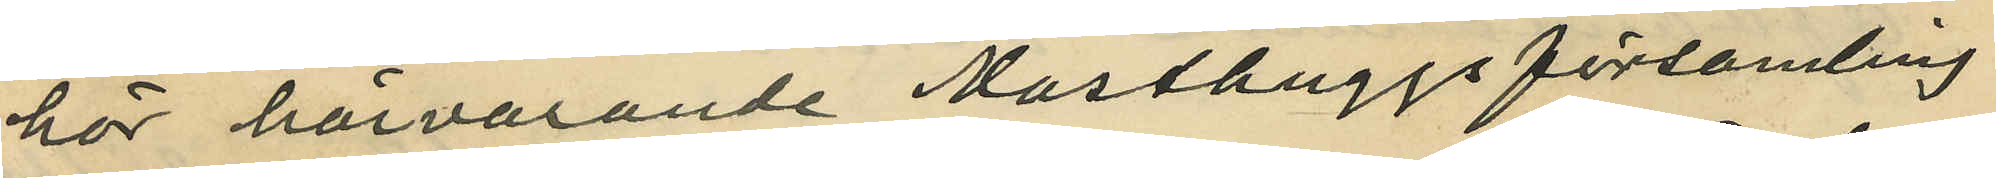hör härvarande Masthuggs församling.
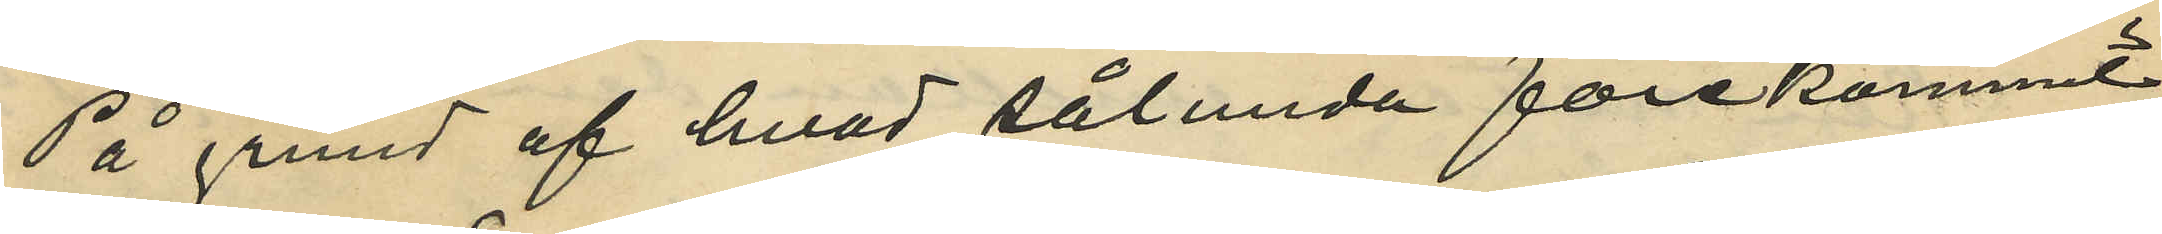På grund af hvad sålunda förekommit
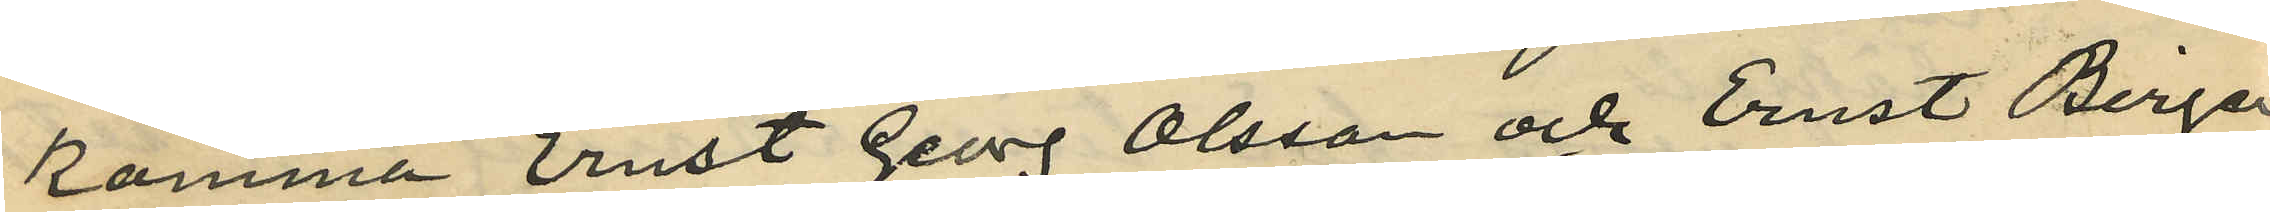komma Ernst Georg Olsson och Ernst Birger
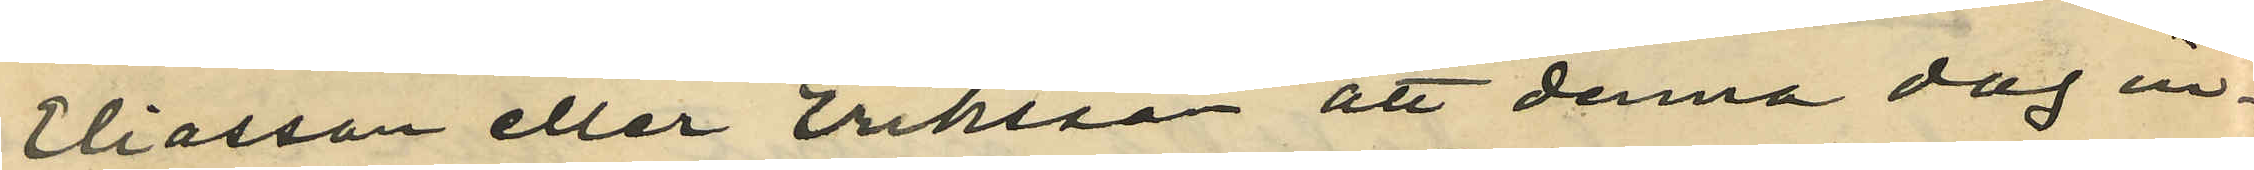Eliasson eller Eriksson att denna dag in¬
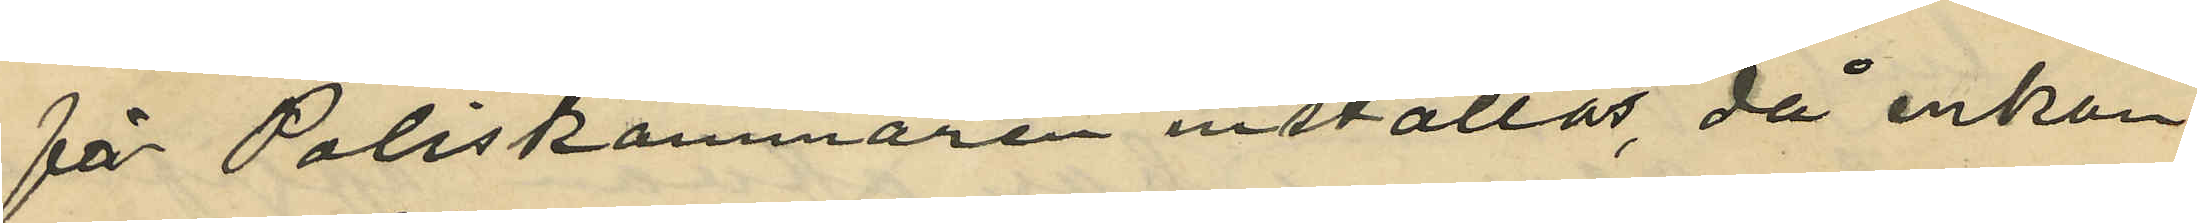för Poliskammaren inställas, då enkan
